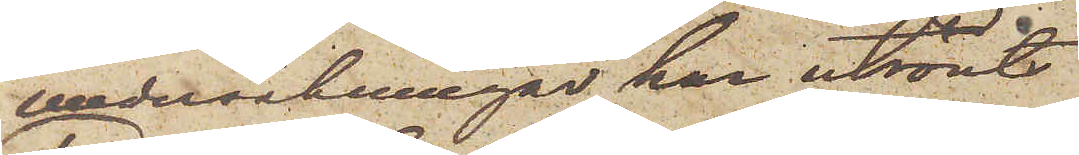undersökningar har utrönts
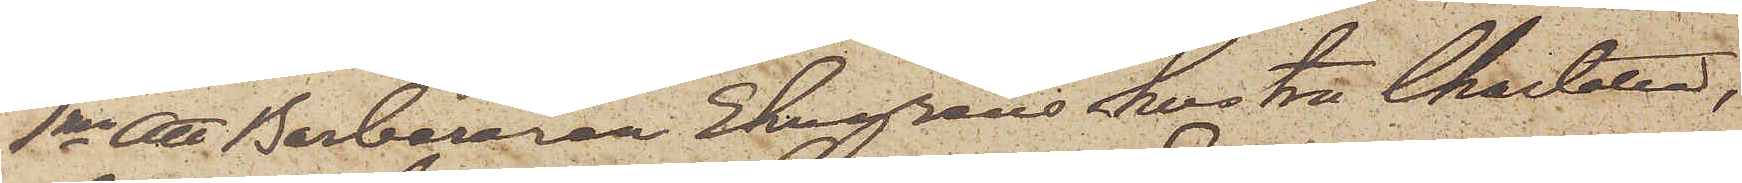1mo Att Barberaren Ekegrens hustru Charlotta,
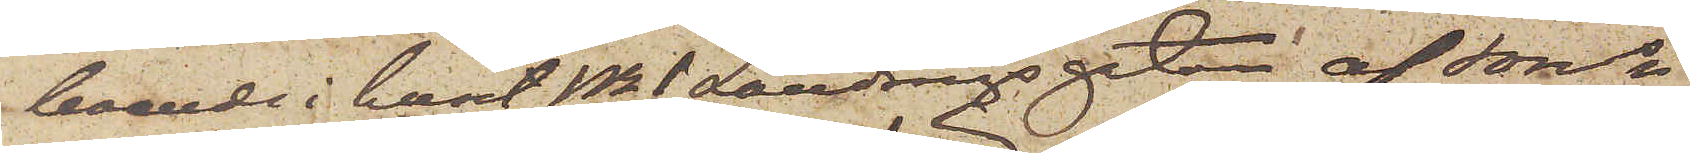boende i huset No 1 Landsvägsgatan af Jons
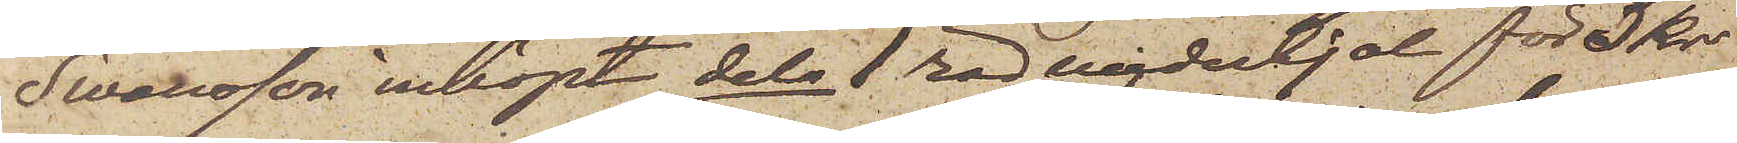Swensson inköpt dels 1 röd underkjol för 3 Kr
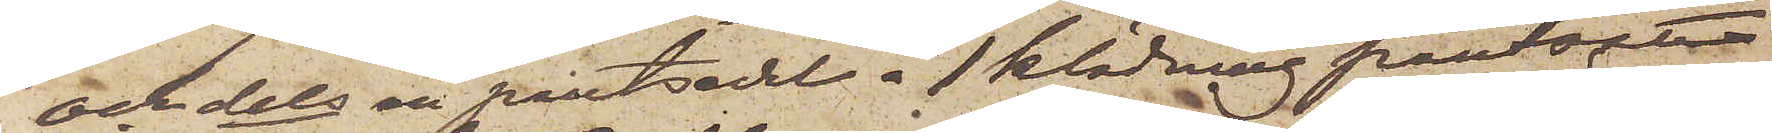och dels en pantsedel å 1 klädning pantsatt
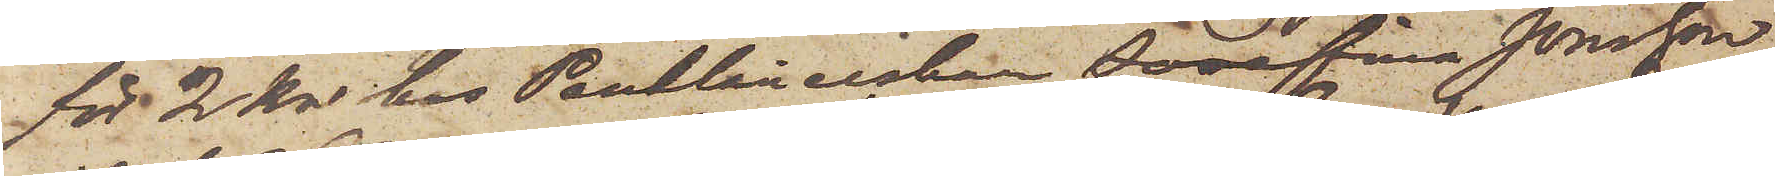för 2 Kr hos Pantlånerskan Josefina Jönsson
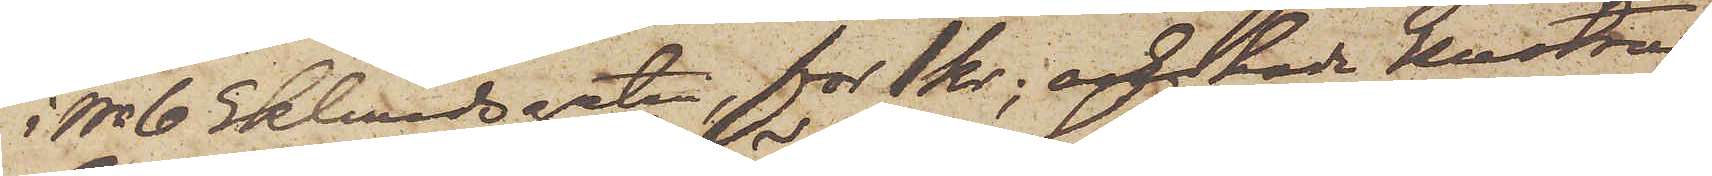i No 6 Eklundsgatan, för 1 Kr; och hade hustru
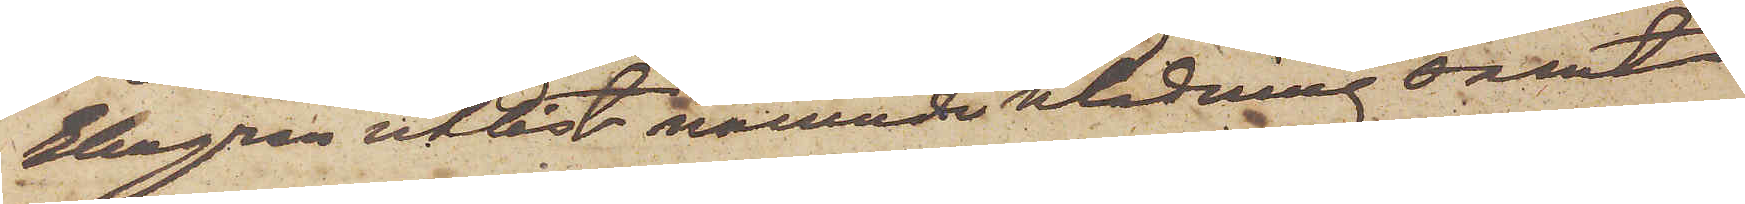Ekegren utlöst nämnde klädning samt
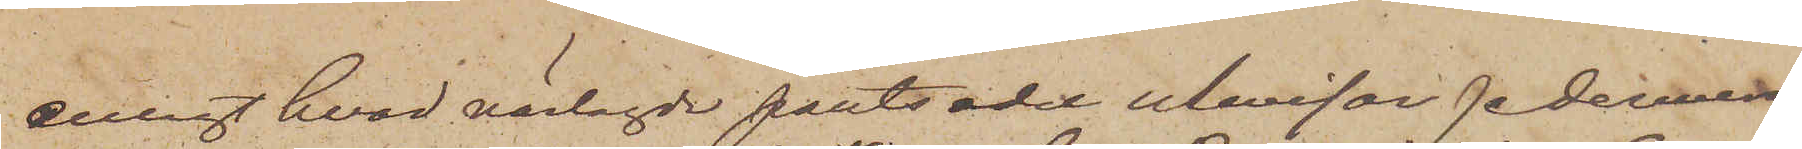enligt hvad närlagde pantsedel utvisar sedermera
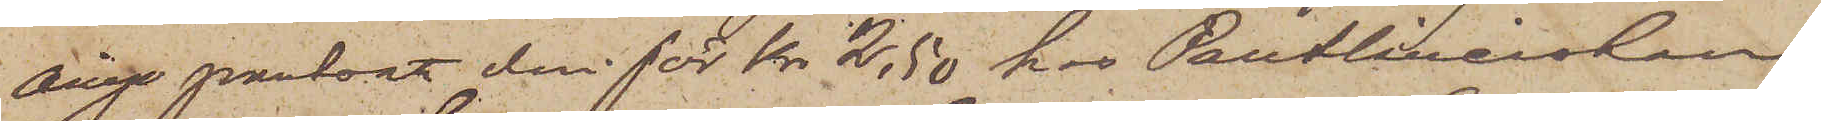ånyo pantsatt den för Kr. 2,50 hos Pantlånerskan
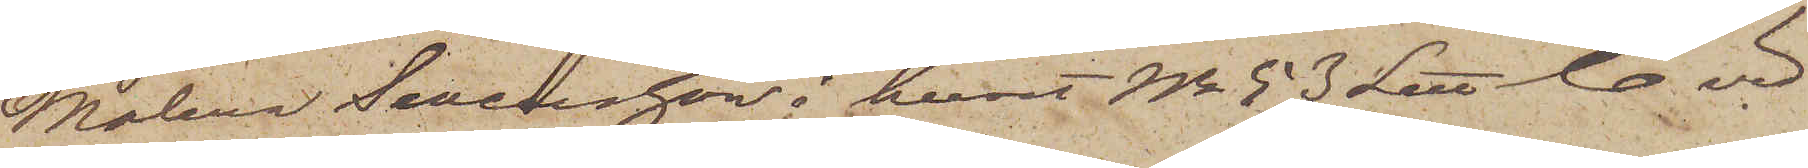Malena Swensson i huset No 53 Litt C. vid
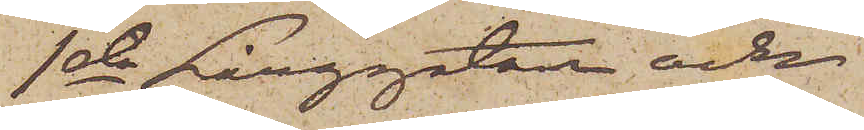1sta Långgatan och
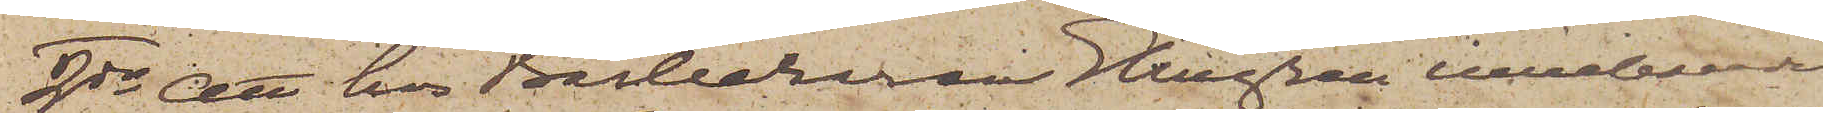2do att hos Barberaren Ekegren inneboende
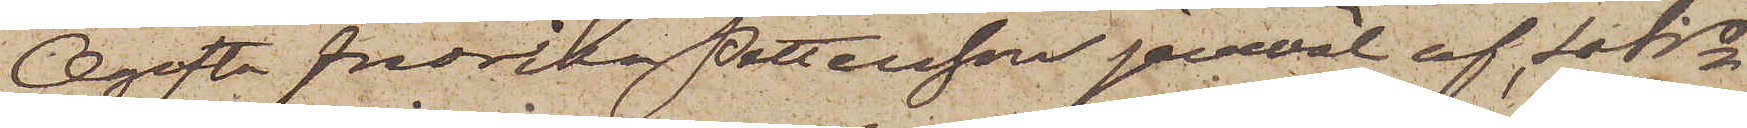Ogifta Fredrika Pettersson jemväl af Latis
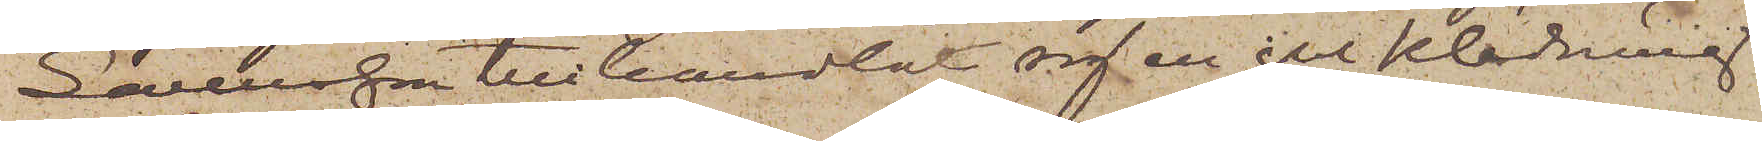Swensson tillhandlat sig en gul klädning
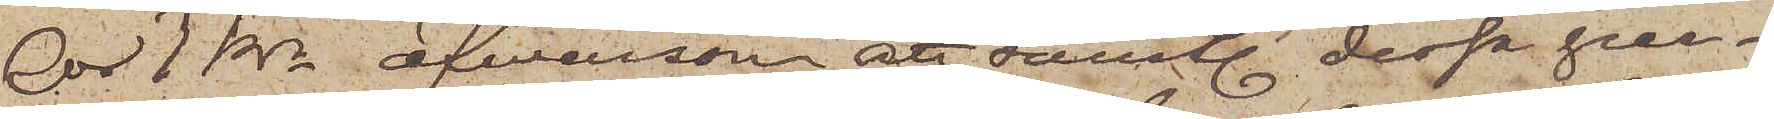för 1 Kr, äfwensom att samtl. dessa per¬
